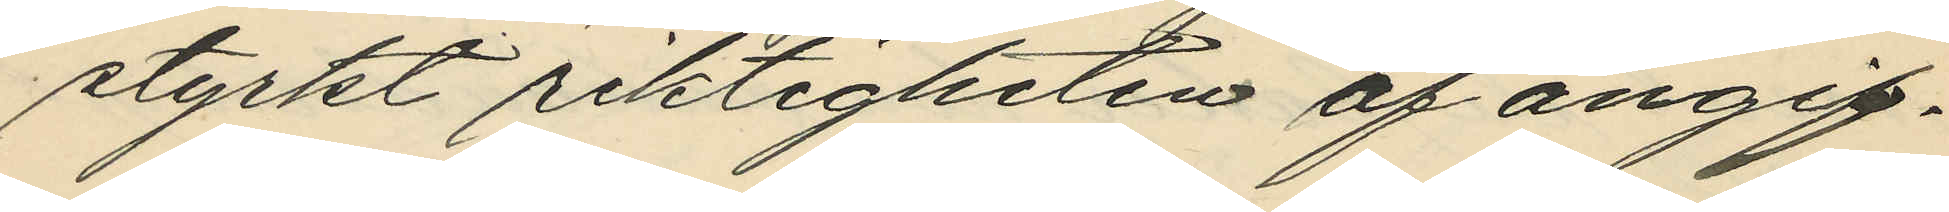styrkt riktigheten af angif¬
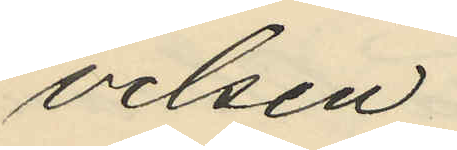velsen.
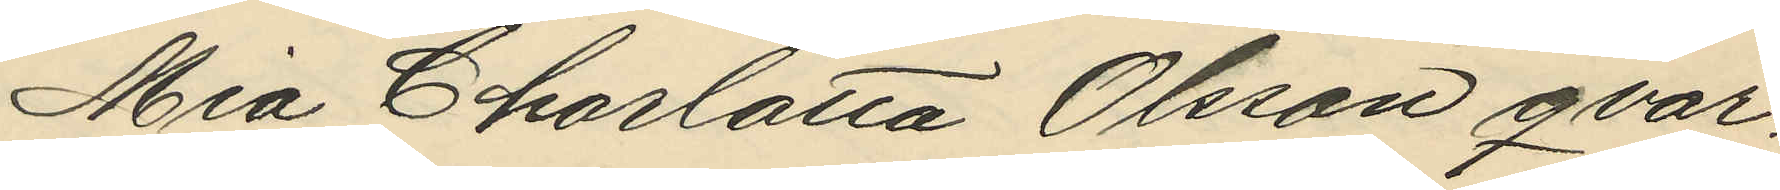Mia Charlotta Olsson qvar¬
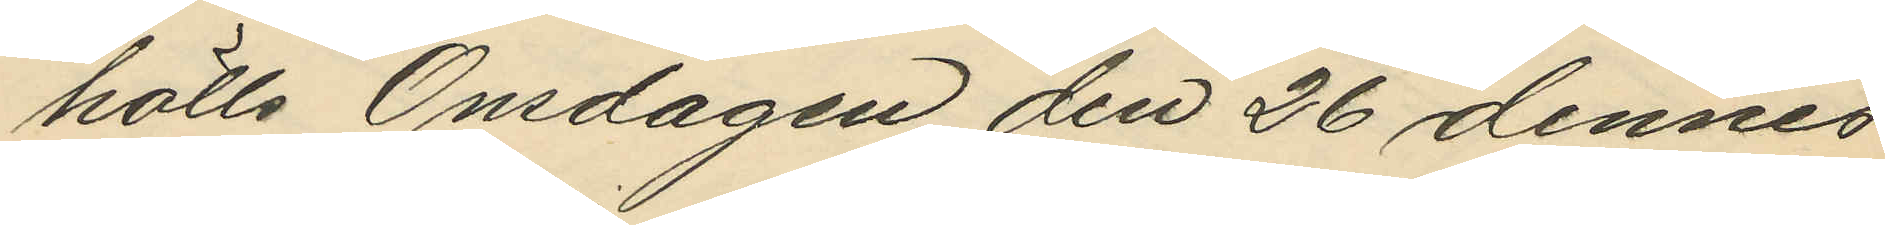hölls Onsdagen den 26 dennes
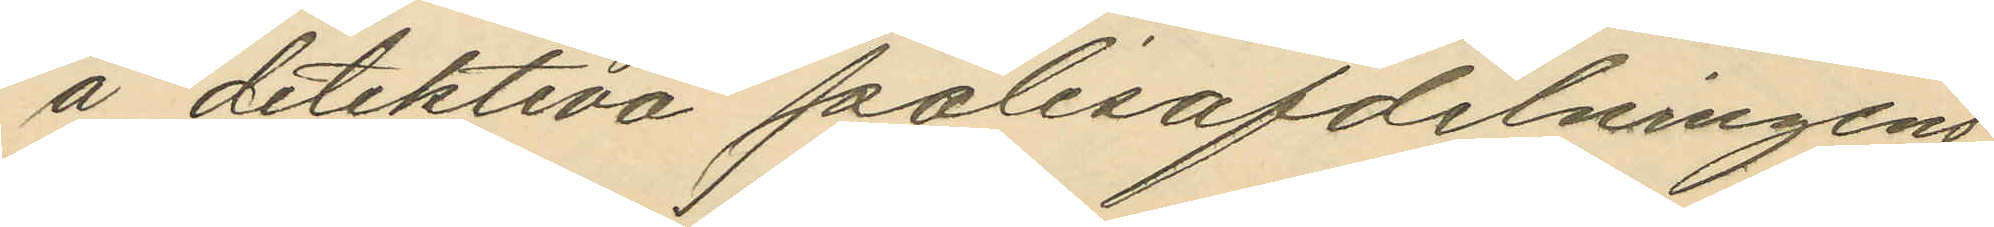å detektiva polisafdelningens
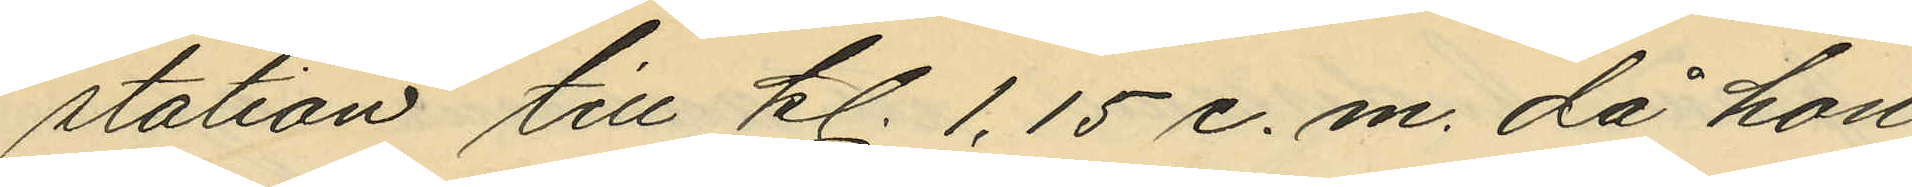station till kl. 1,15 e. m. då hon
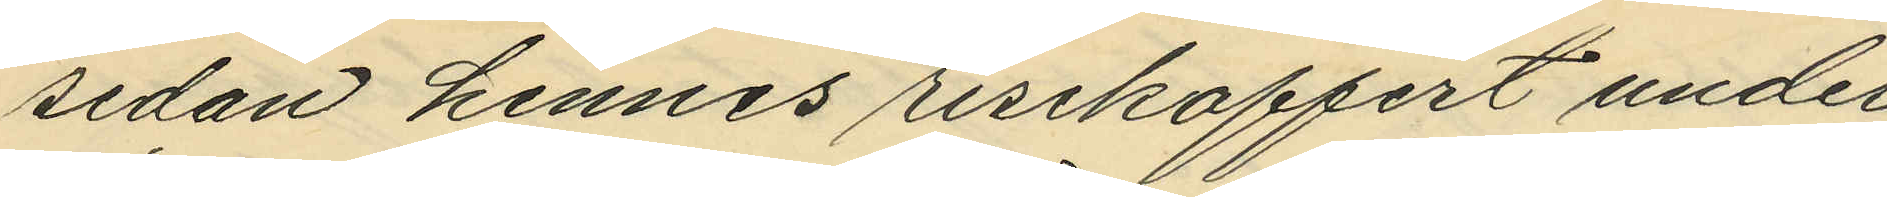sedan hennes resekoffert under¬
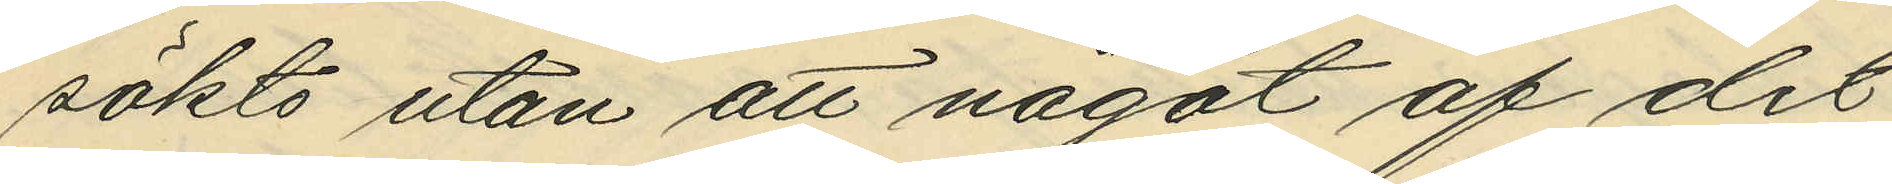sökts utan att något af det
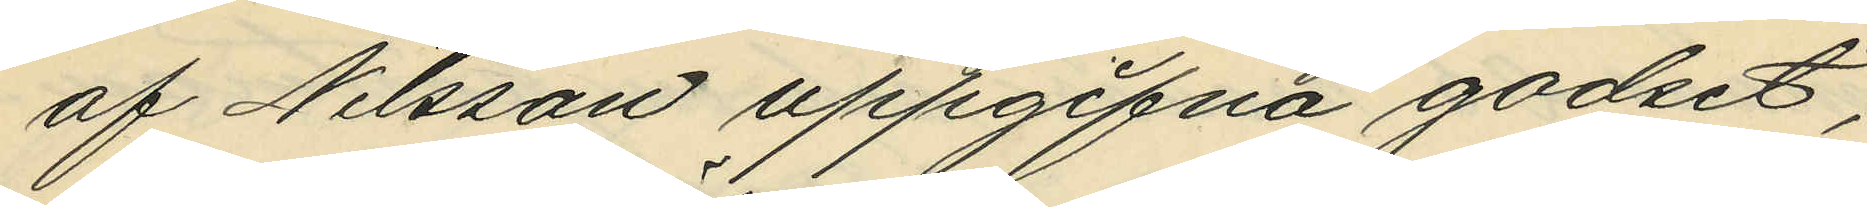af Nilsson uppgifna godset,
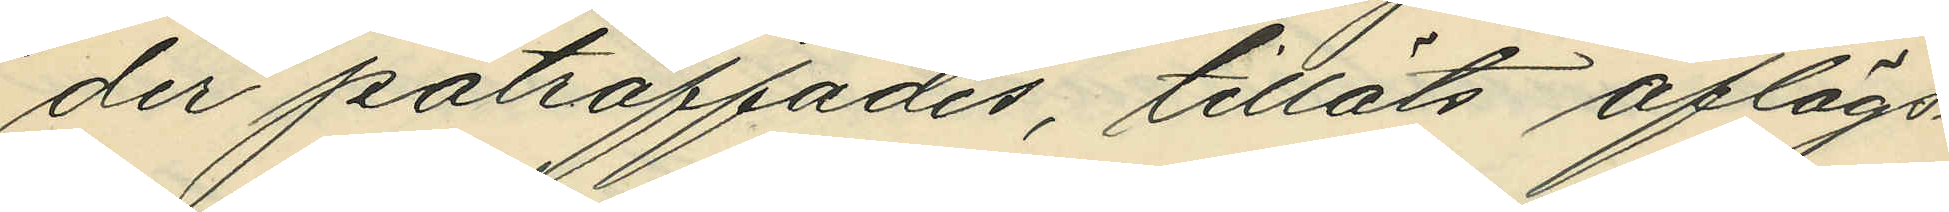der påträffades, tilläts aflägs¬
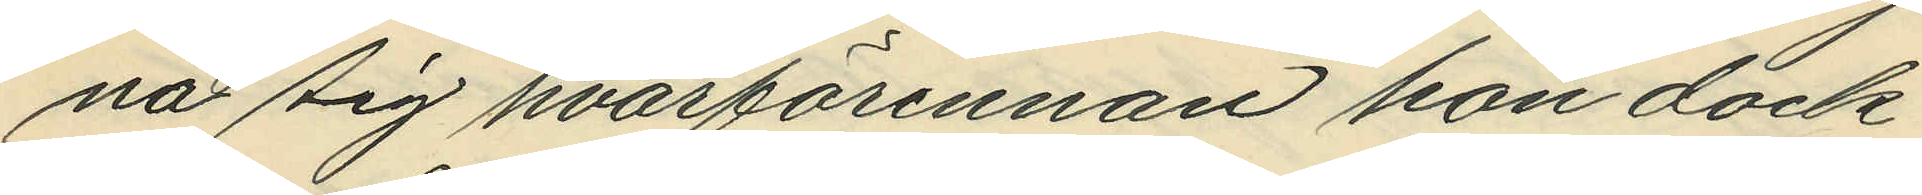na sig hvarförinnan hon dock
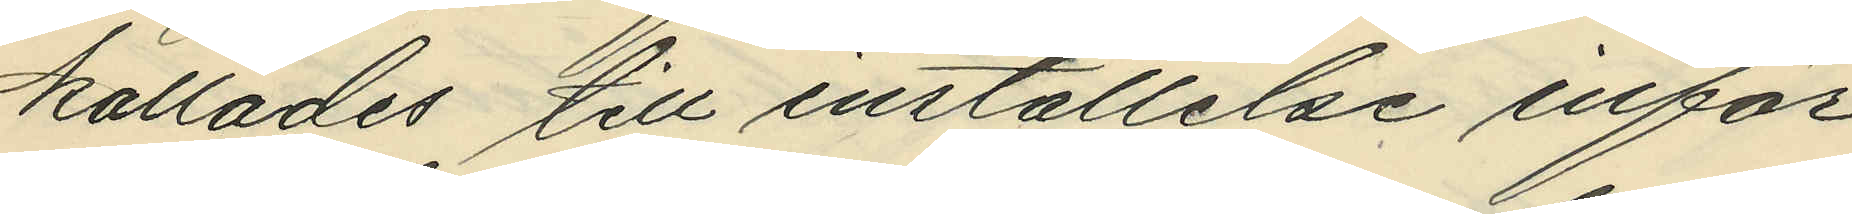kallades till inställelse inför
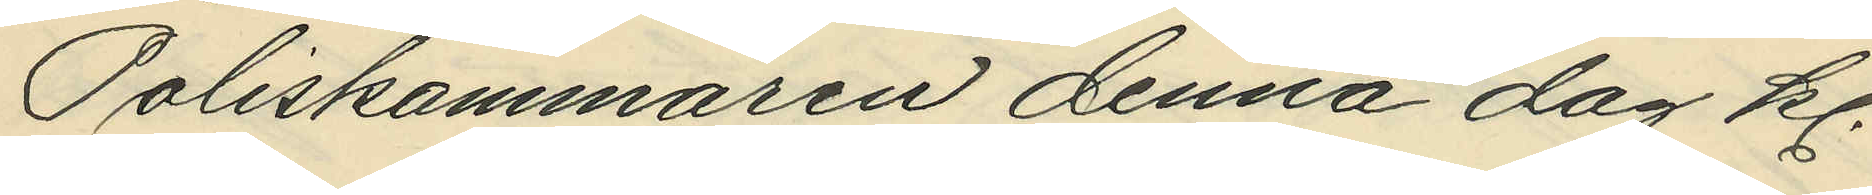Poliskammaren denna dag kl.
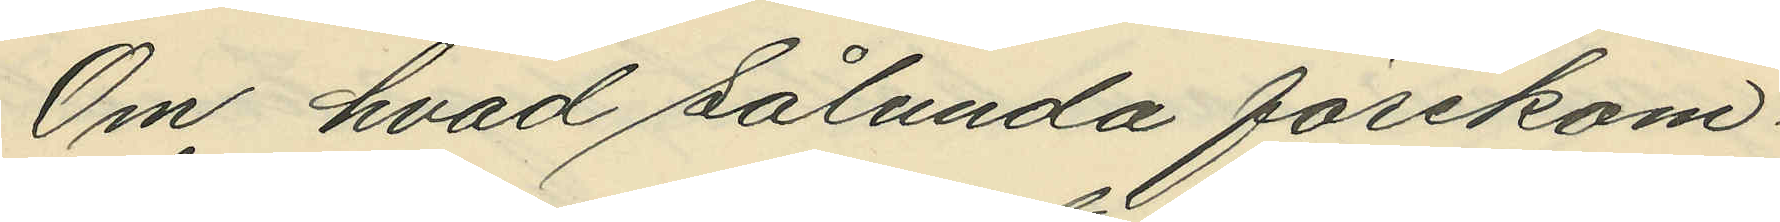Om hvad sålunda förekom¬
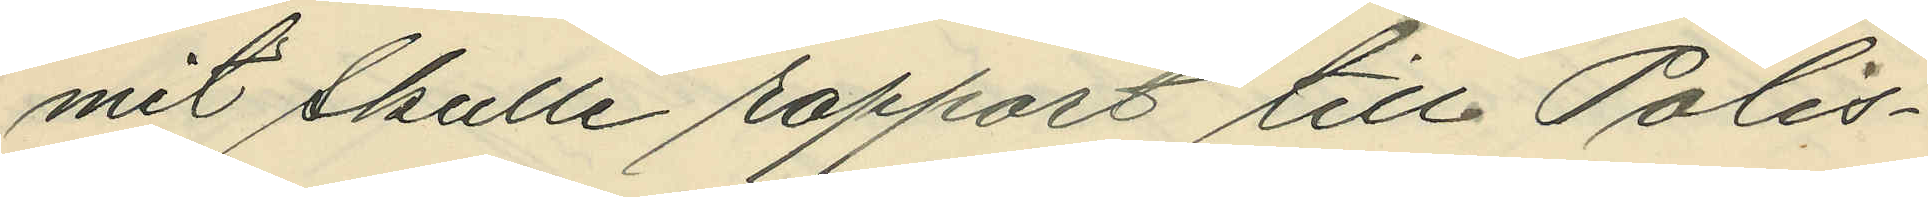mit skulle rapport till Polis¬
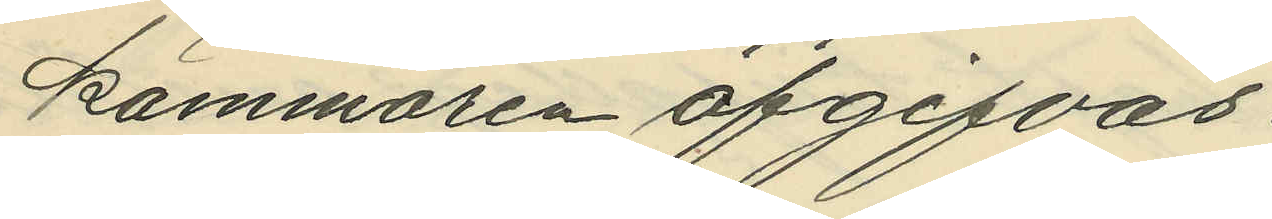kammaren afgifvas.
